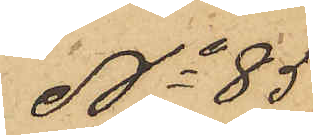No 85
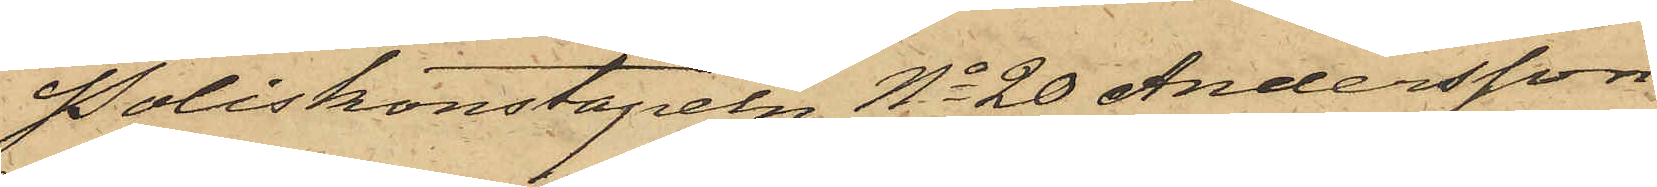Poliskonstapeln No 20 Andersson
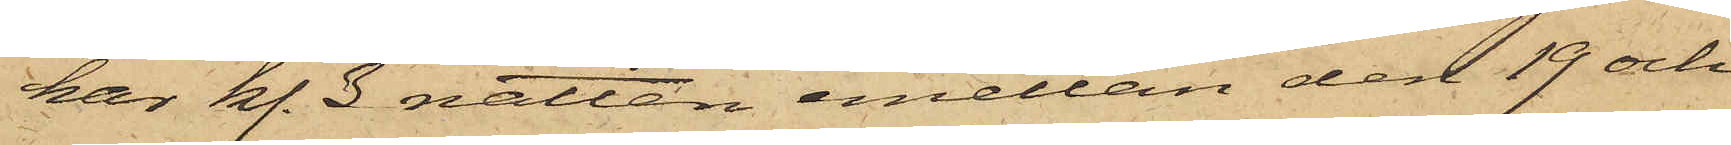har kl. 3 natten emellan den 19 och
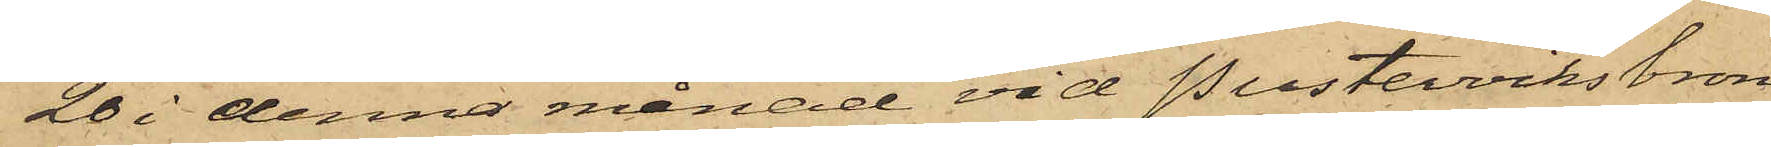20 i denna månad vid Pusterviksbron
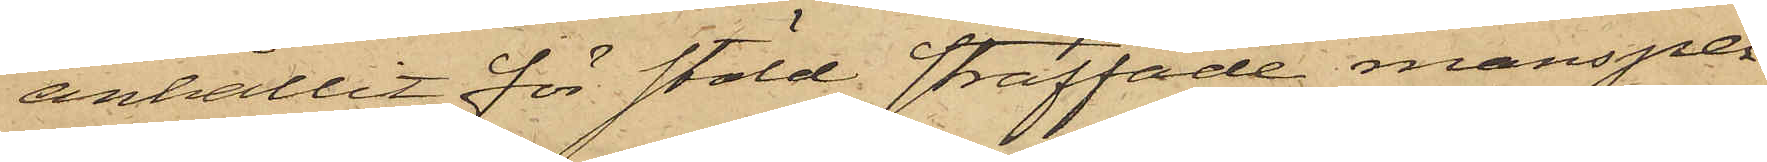anhållit för stöld straffade mansper¬
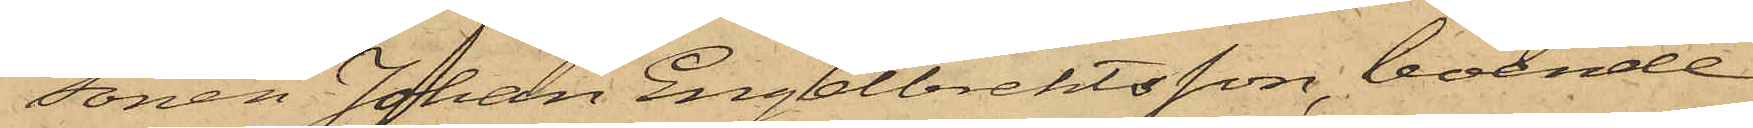sonen Johan Engelbrektsson, boende
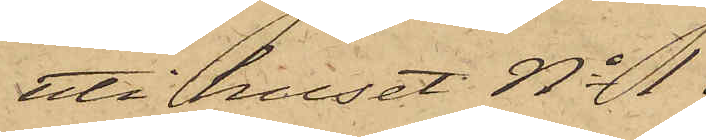uti huset No 1
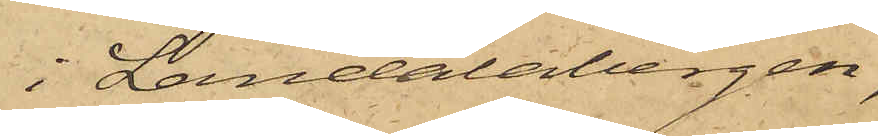i Landalabergen,
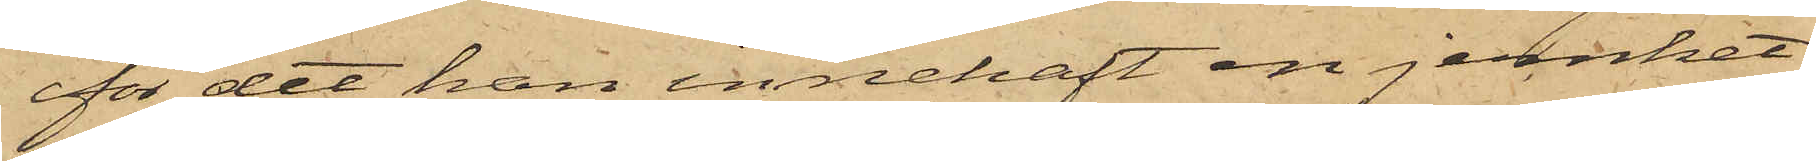för det han innehaft en jernket¬
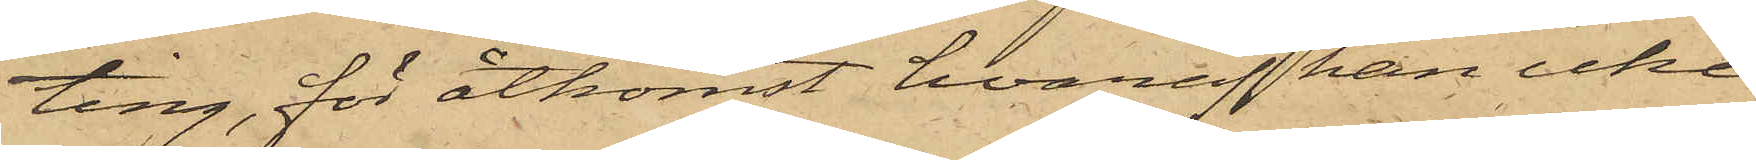ting, för åtkomst hvaraf han icke
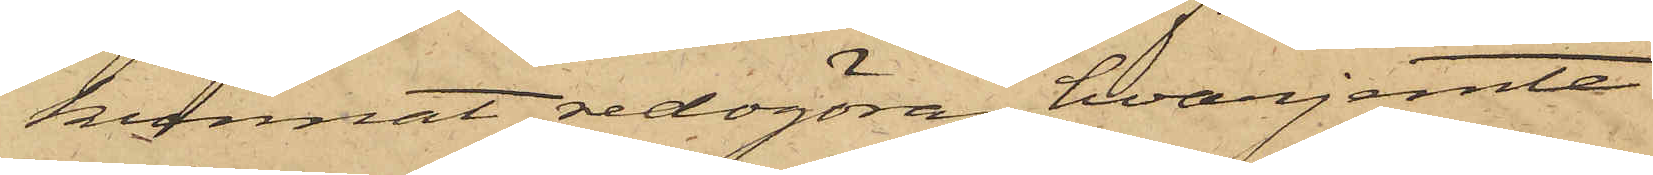kunnat redogöra, hvarjemte
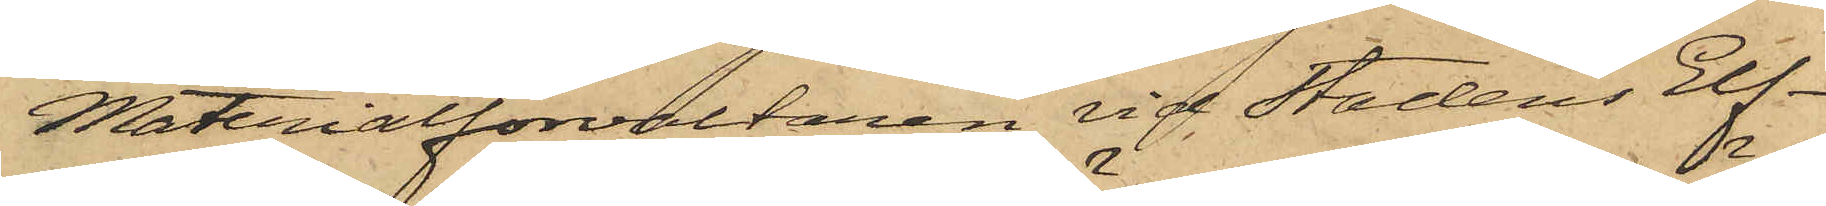Materialförvaltaren vid Stadens Elf¬
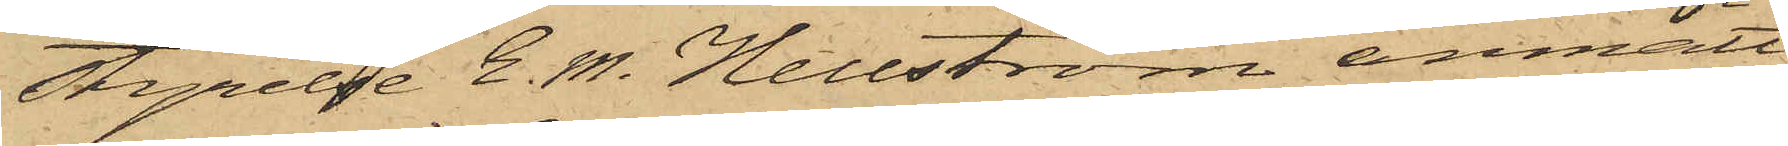styrelse E. M. Hellström anmält
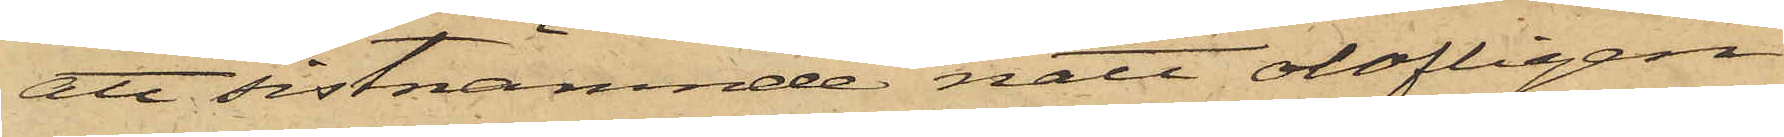att sistnämnde natt olofligen
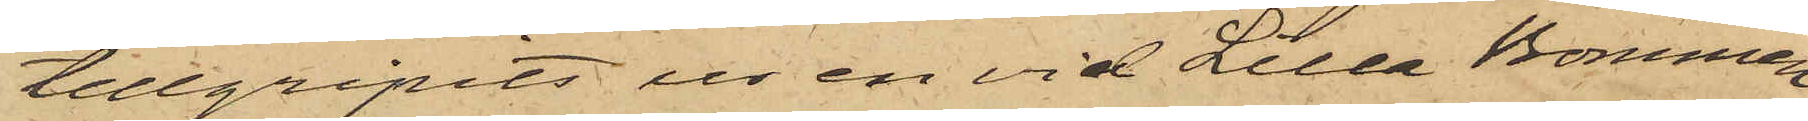tillgripits ur en vid Lilla Bommen
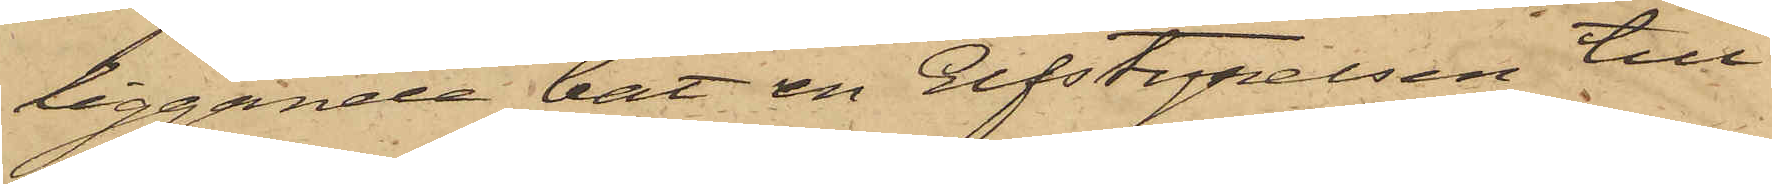liggande båt en Elfstyrelsen till¬
